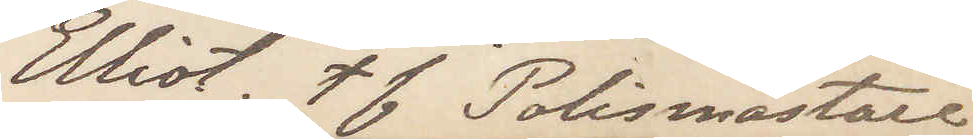Elliot. t f Polismästare
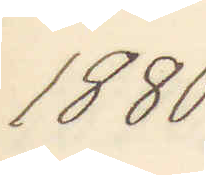1880.
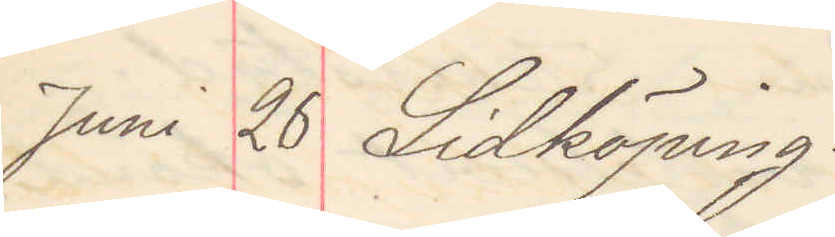Juni 26 Lidköping.
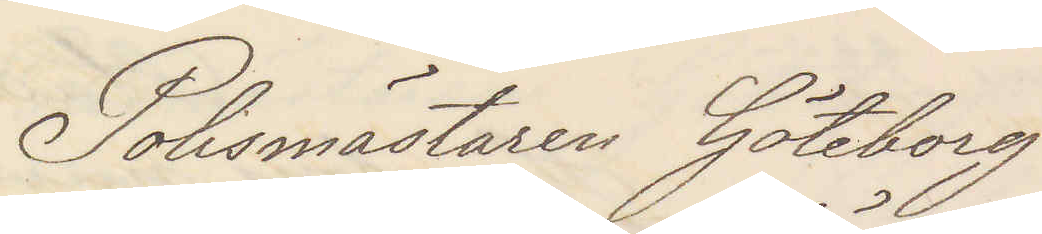Polismästaren Göteborg
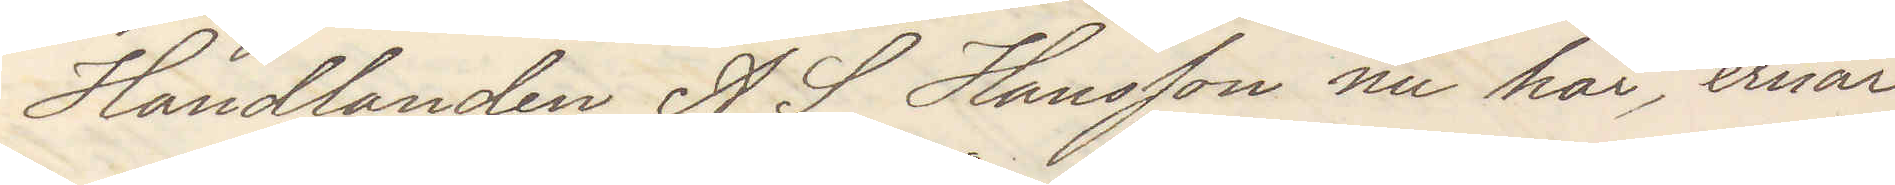Handlanden A. S. Hansson nu här, ernar
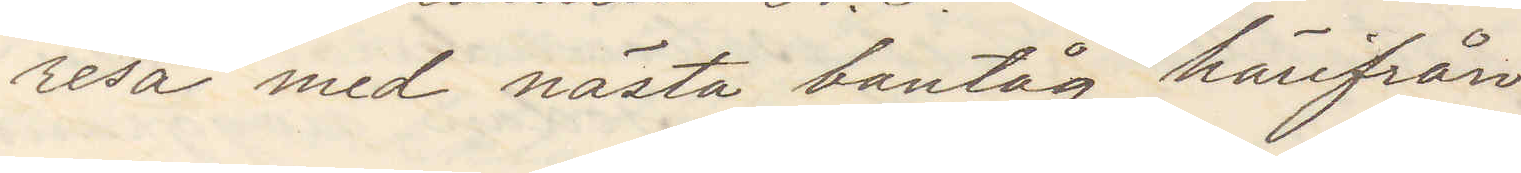resa med nästa bantåg härifrån
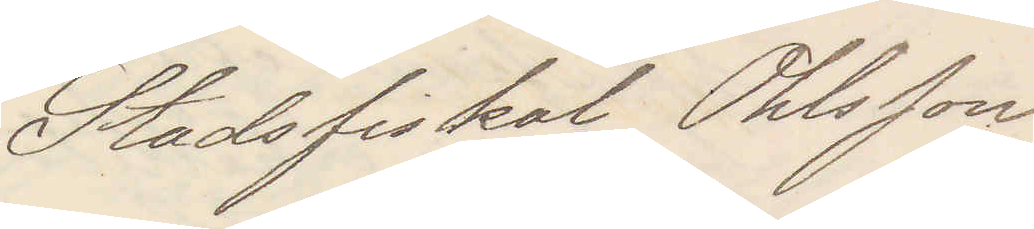Stadsfiskalen Ohlsson
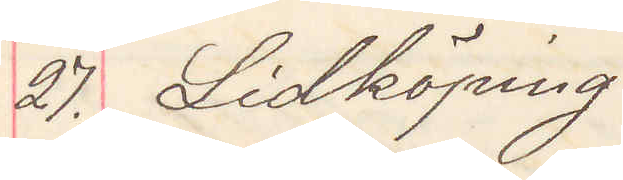27. Lidköping
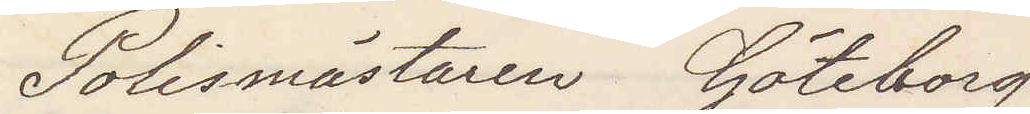Polismästaren Göteborg
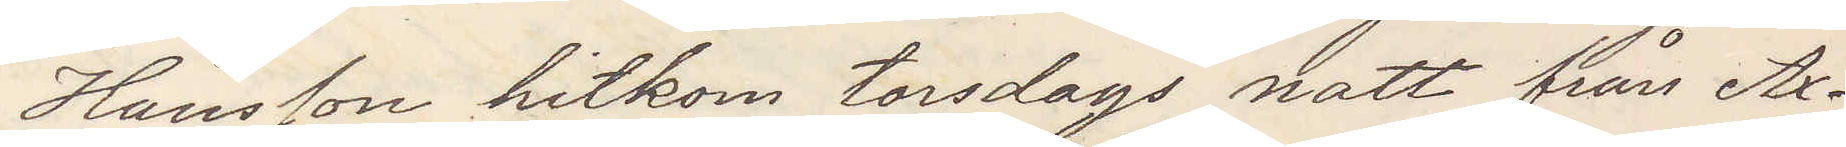Hansson hitkom torsdags natt från Ax¬
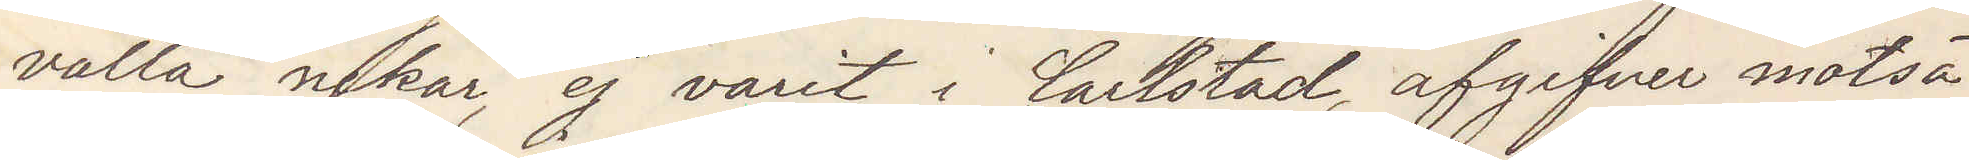valla nekar, ej varit i Carlstad, afgifver motsä¬
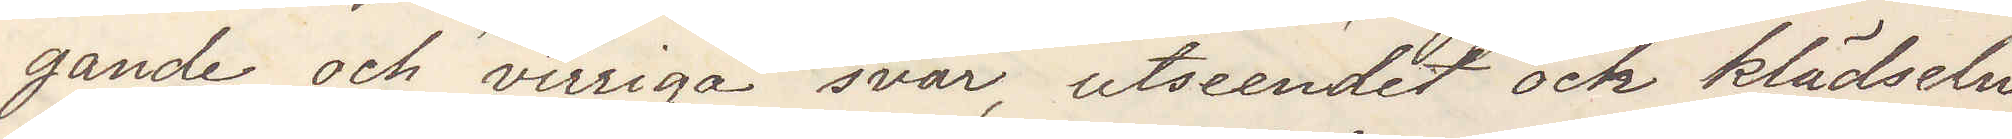gande och virriga svar, utseendet och klädseln
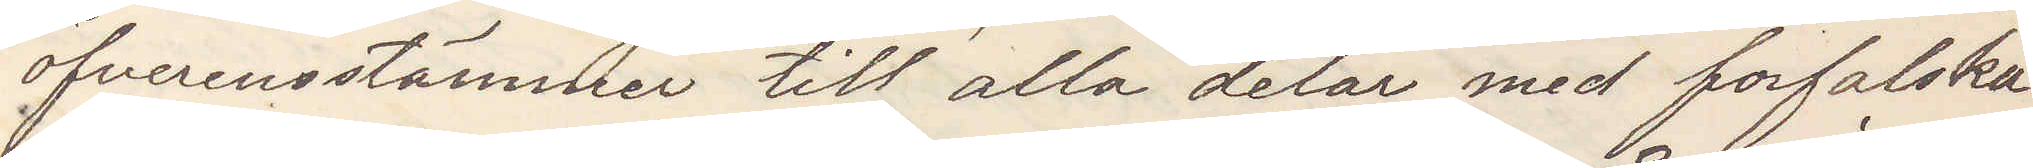öfverensstämmer till alla delar med forfalska¬
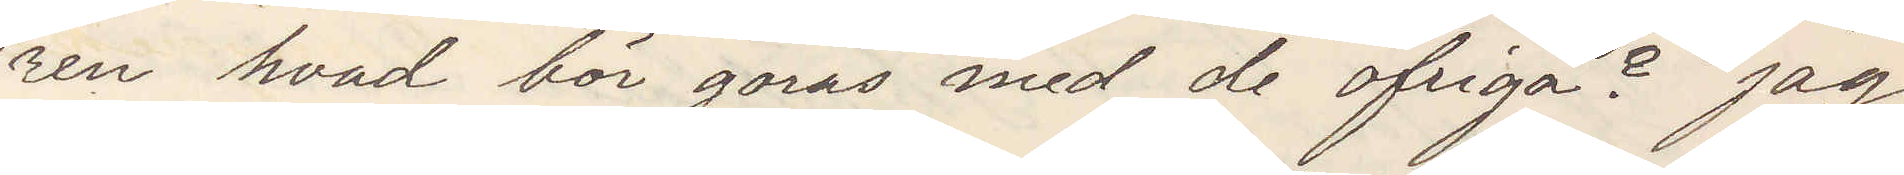ren hvad bör göras med de öfriga? Jag
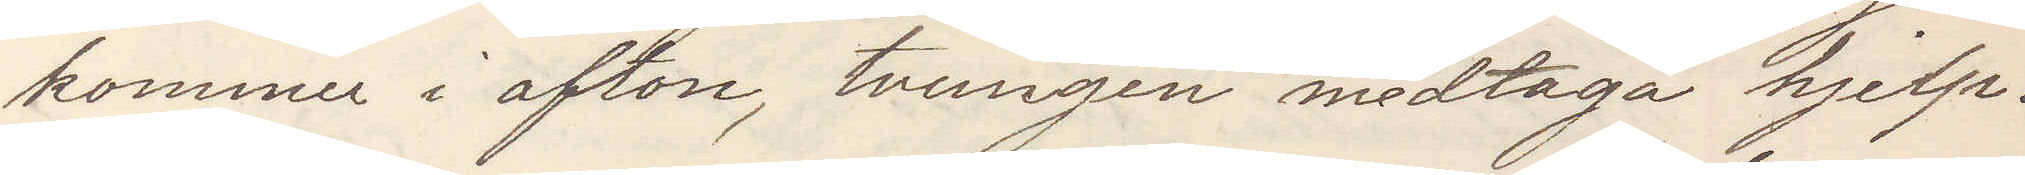kommer i afton tvungen medtaga hjelp.
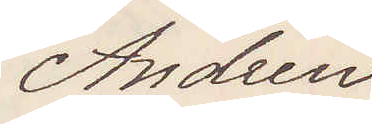Andren
